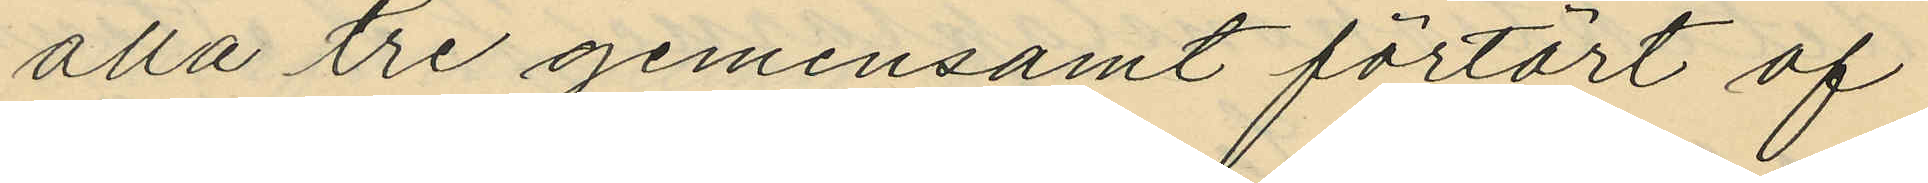alla tre gemensamt förtärt af
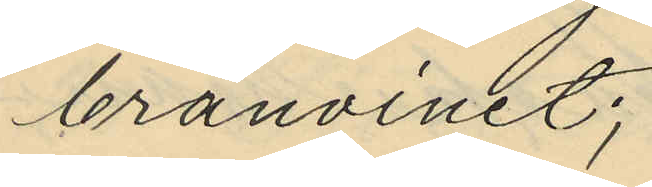bränvinet;
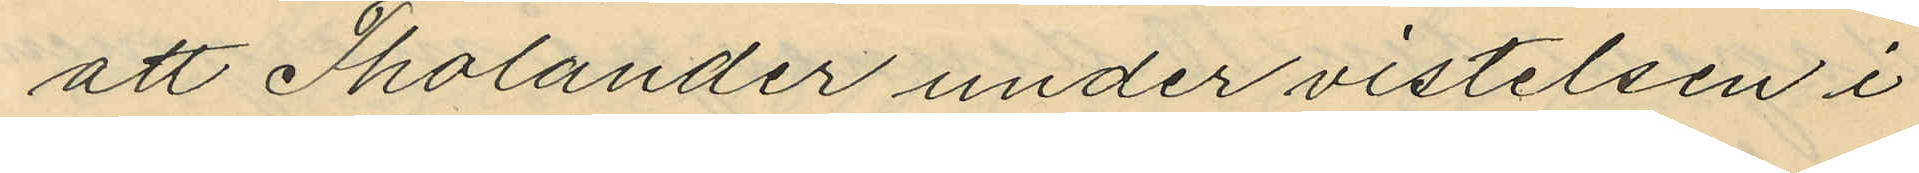att Tholander under vistelsen i
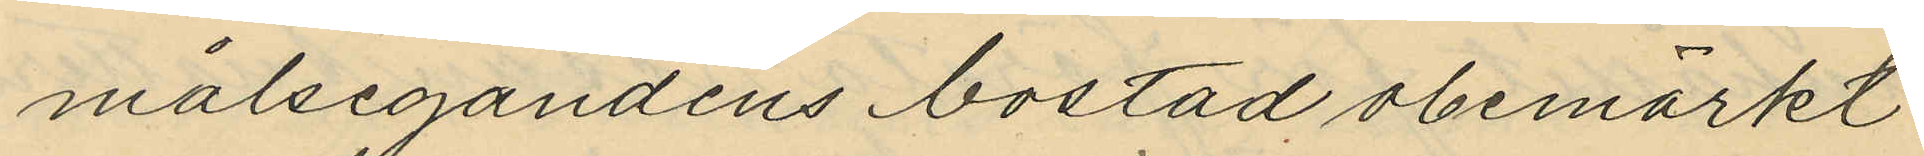målsegandens bostad obemärkt
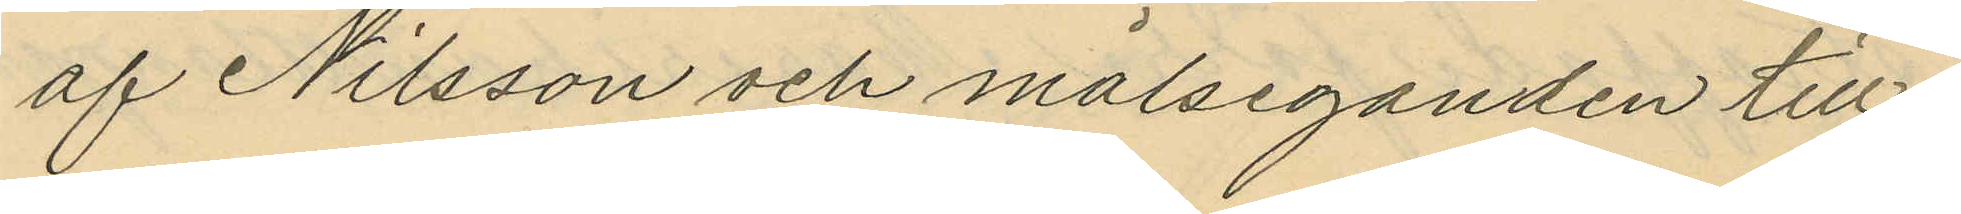af Nilsson och målseganden till¬
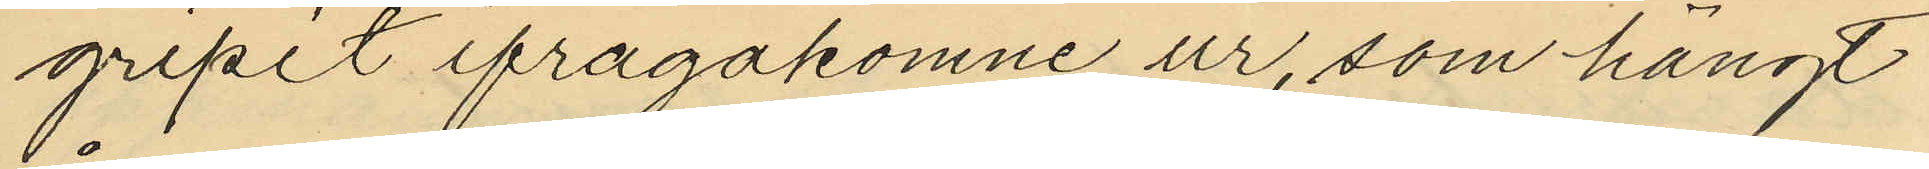gripit ifrågakomne ur, som hängt
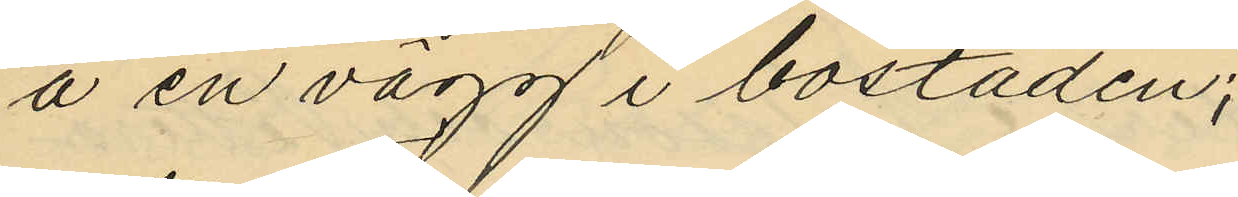å en vägg i bostaden;
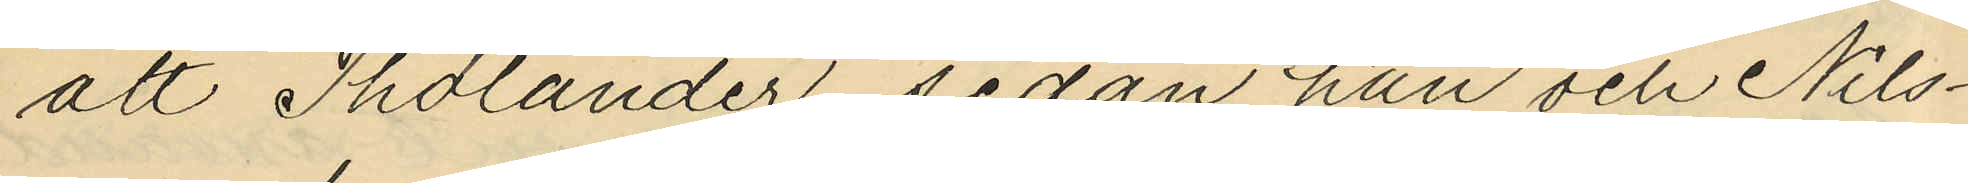att Tholander, sedan han och Nils¬
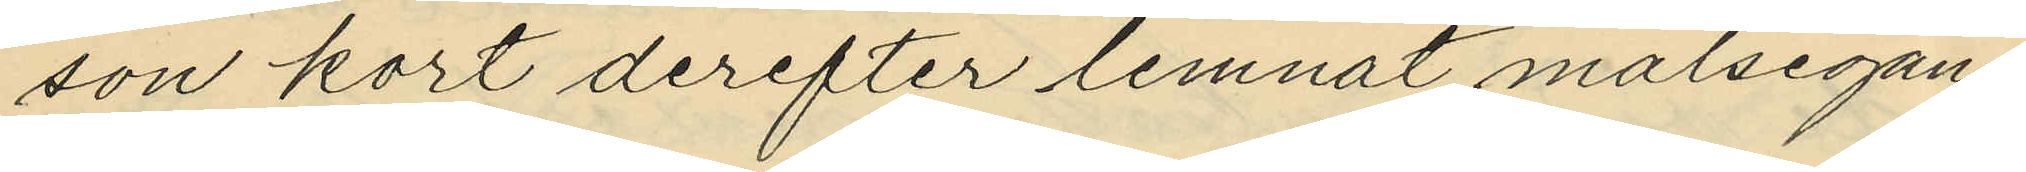son kort derefter lemnat målsegan¬
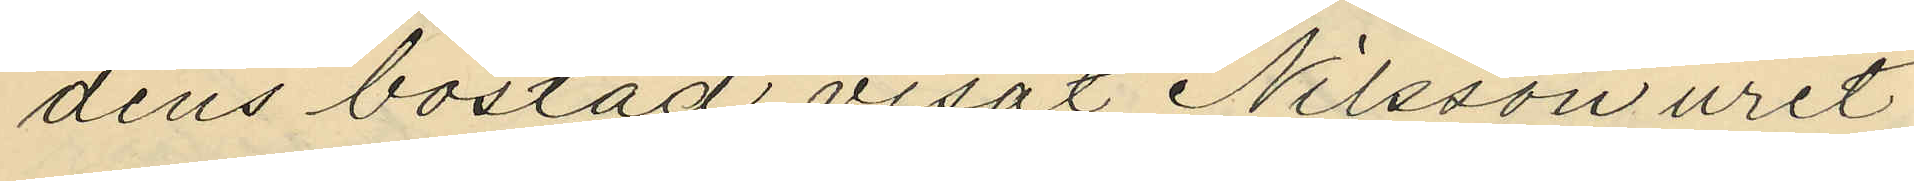dens bostad visat Nilsson uret
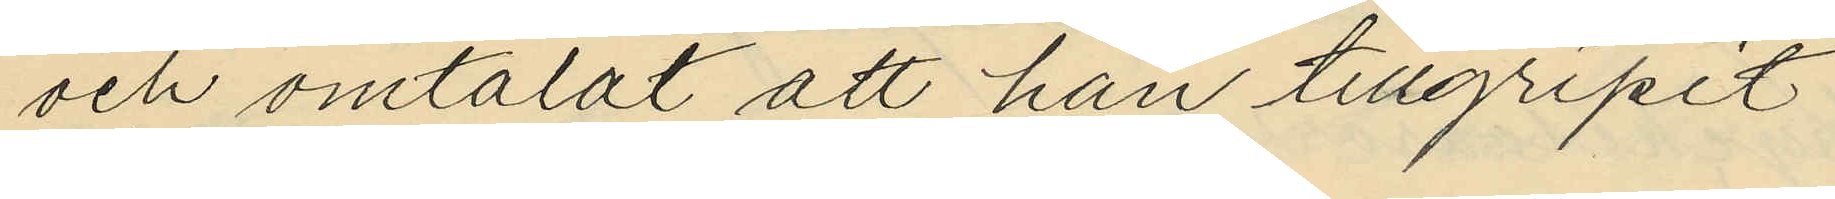och omtalat att han tillgripit
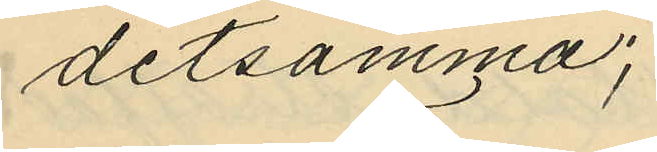detsamma;
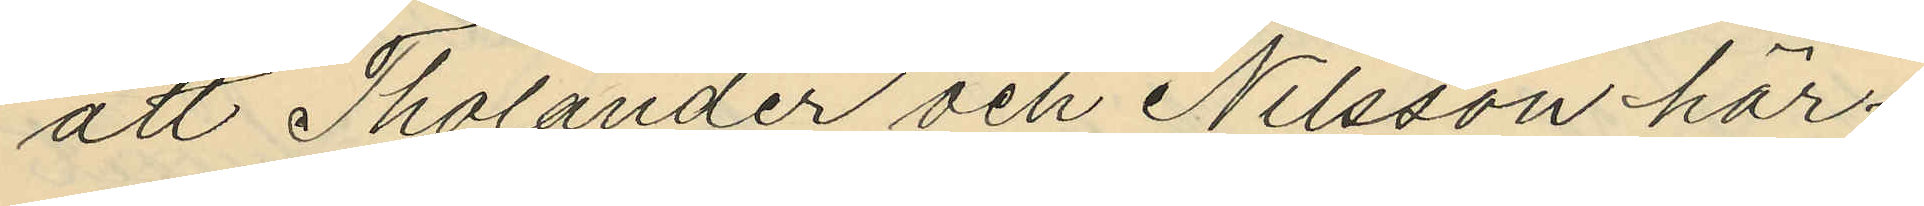att Tholander och Nilsson här¬
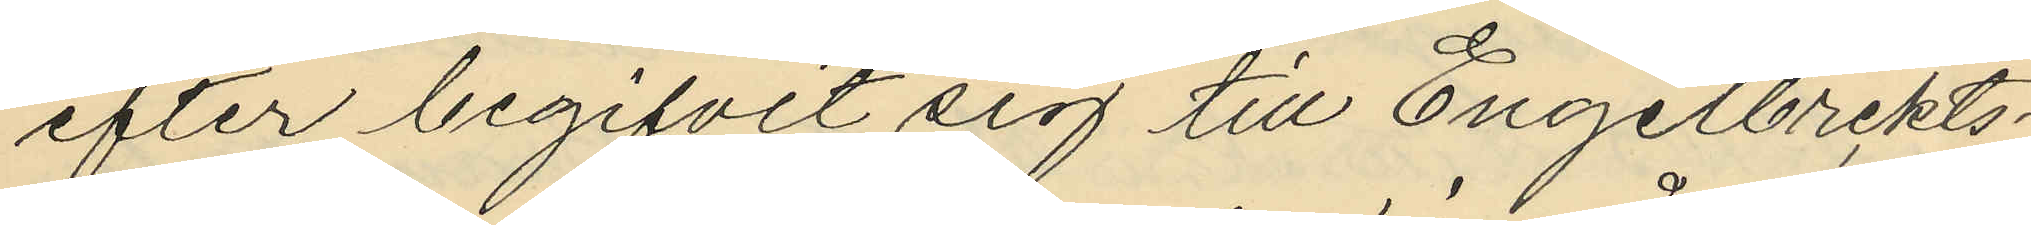efter begifvit sig till Engelbrekts¬
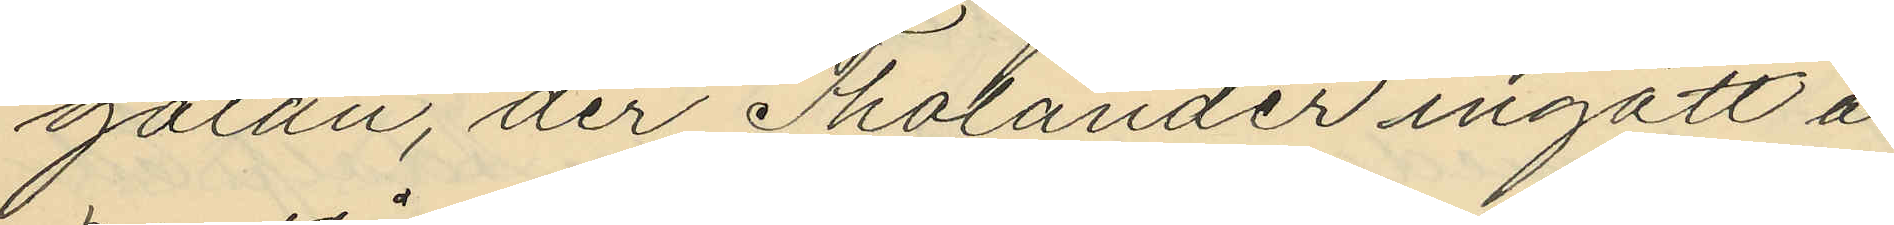gatan, der Tholander ingått å
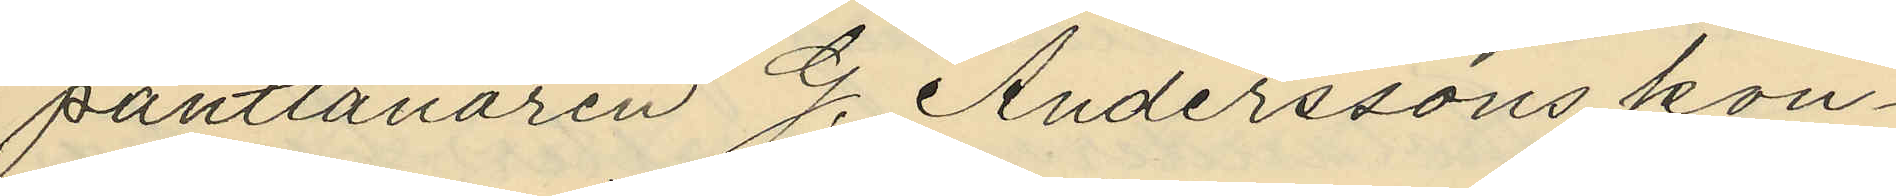pantlånaren G. Anderssons kon¬
